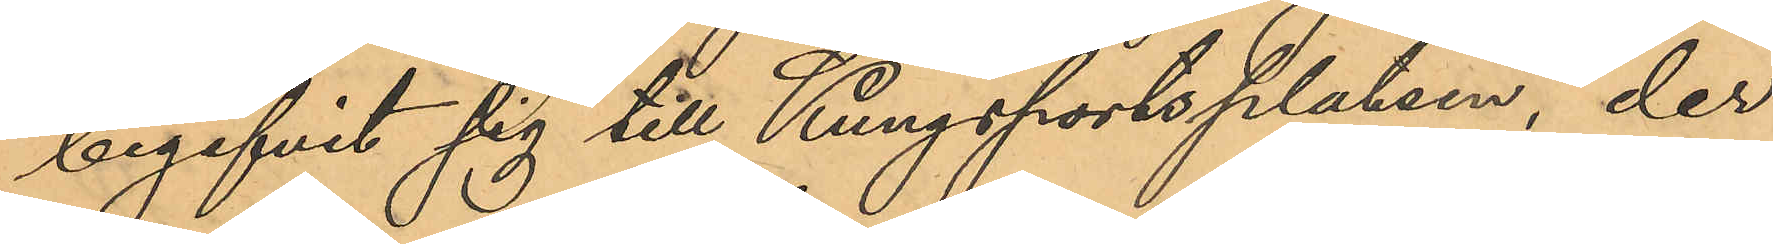begifvit sig till Kungsportsplatsen, der
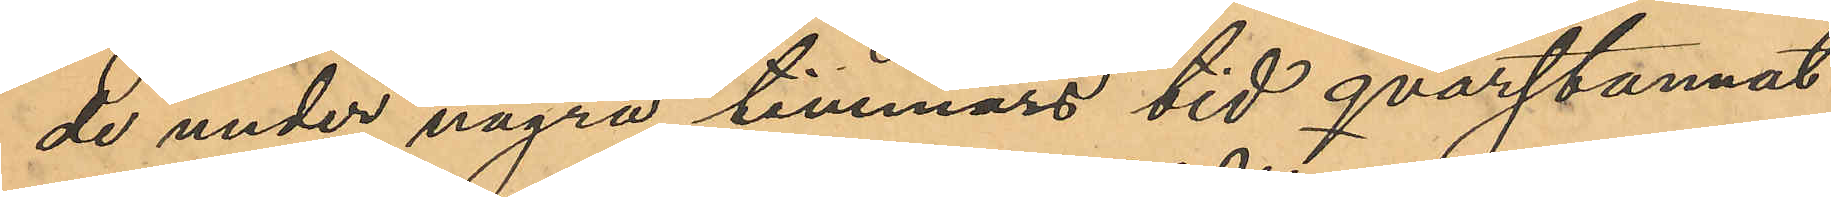de under några timmars tid qvarstannat
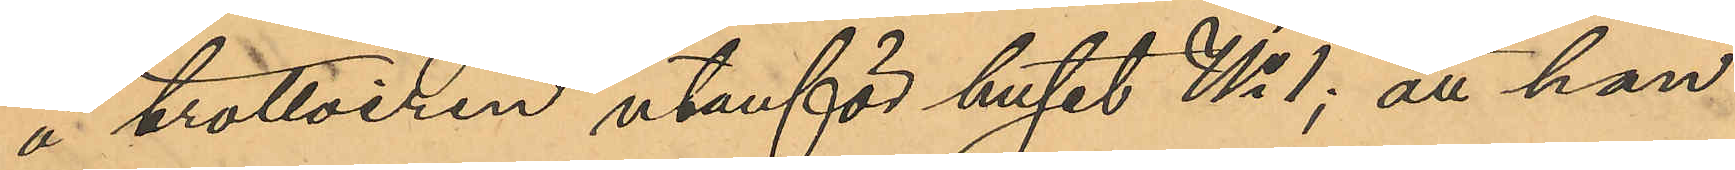å trottoiren utanför huset No 1; att han
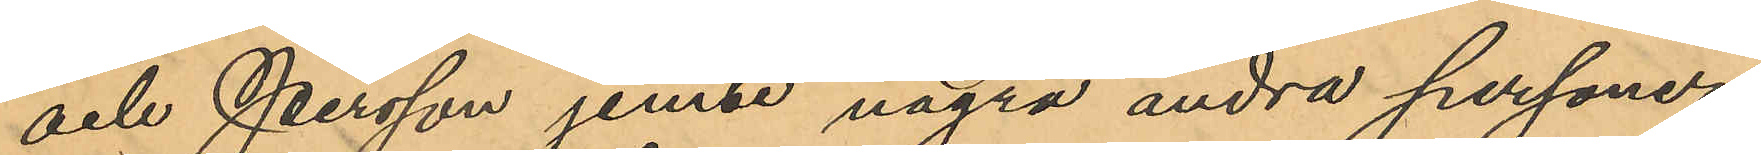och Persson jemne några andra personer
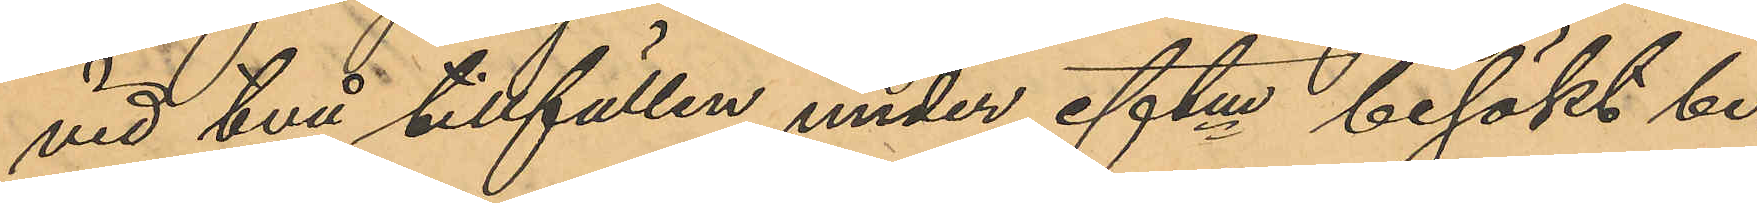vid två tillfällen under eftm besökt be¬
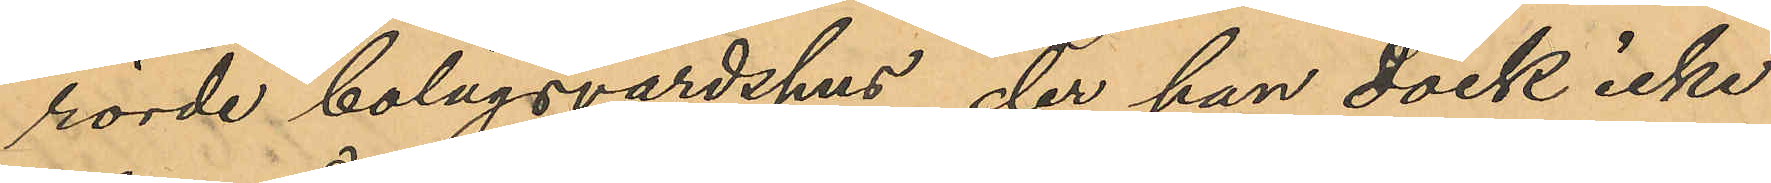rörde bolagsvärdshus, der han dock icke
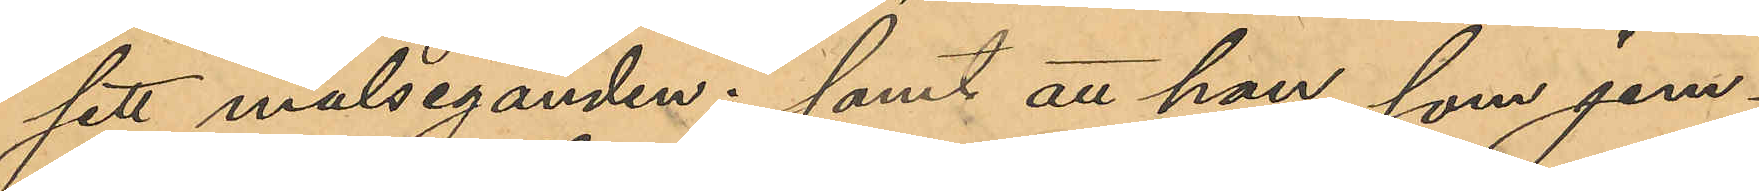sett målseganden; samt att han som jem¬
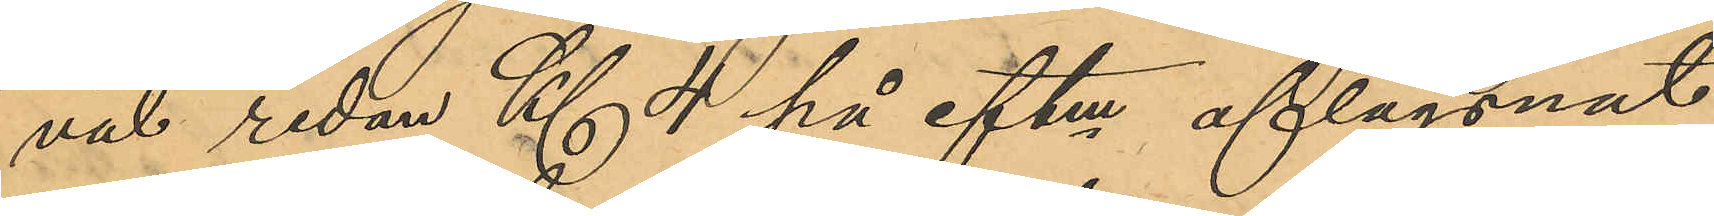väl redan Kl. 4 på eftm aflägsnat
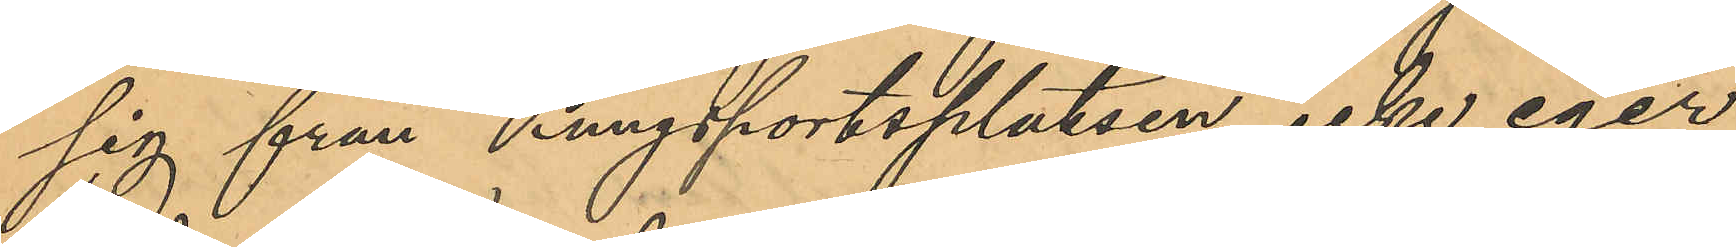sig från Kungsportsplatsen, icke eger
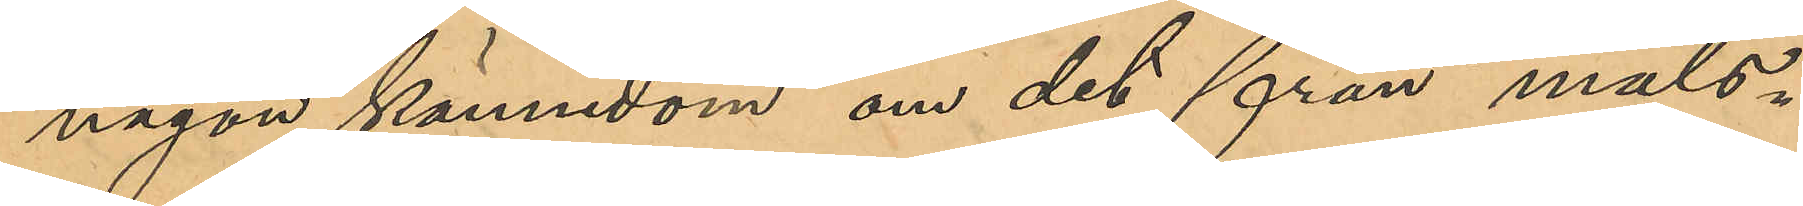någon kännedom om det från måls¬
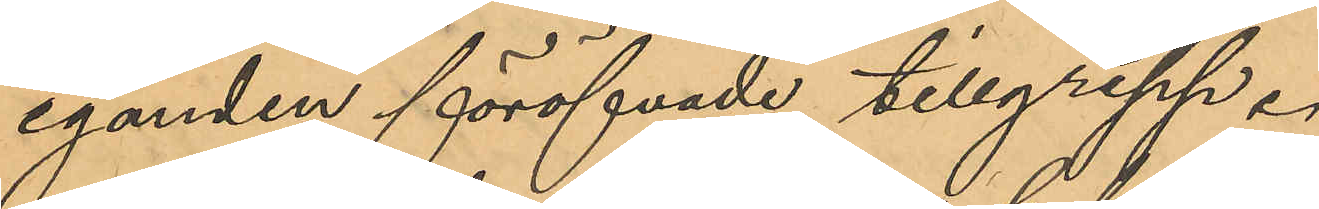eganden föröfvade tillgrepp.
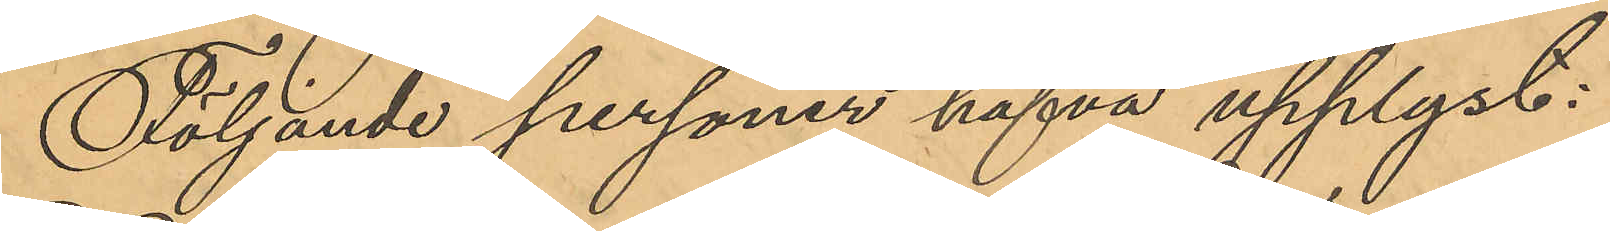Följande personer hafva upplyst:
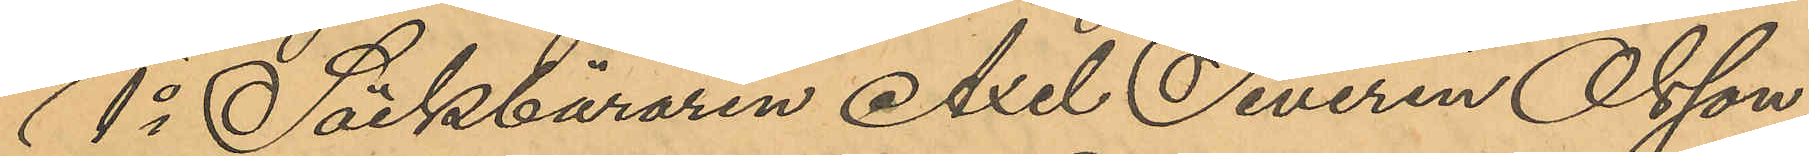1o Säckbäraren Axel Severin Olsson
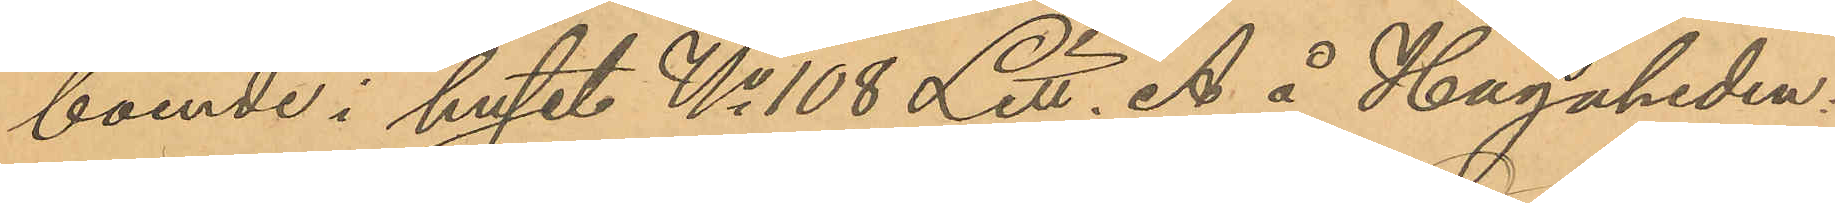boende i huset No 108 Litt. A å Hagaheden.
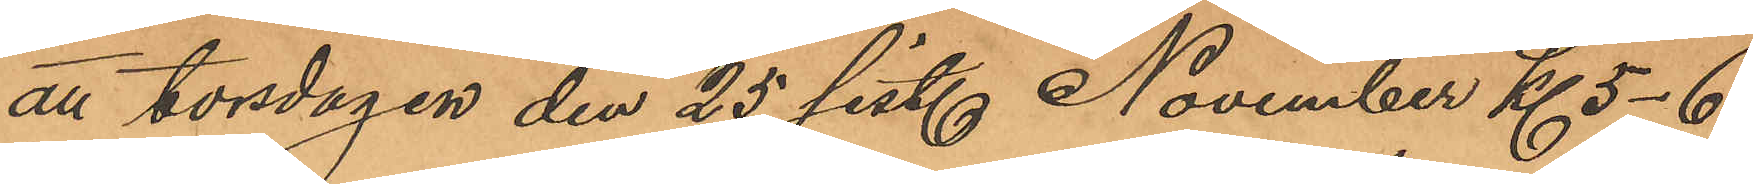att torsdagen den 25 sist. November Kl 5-6
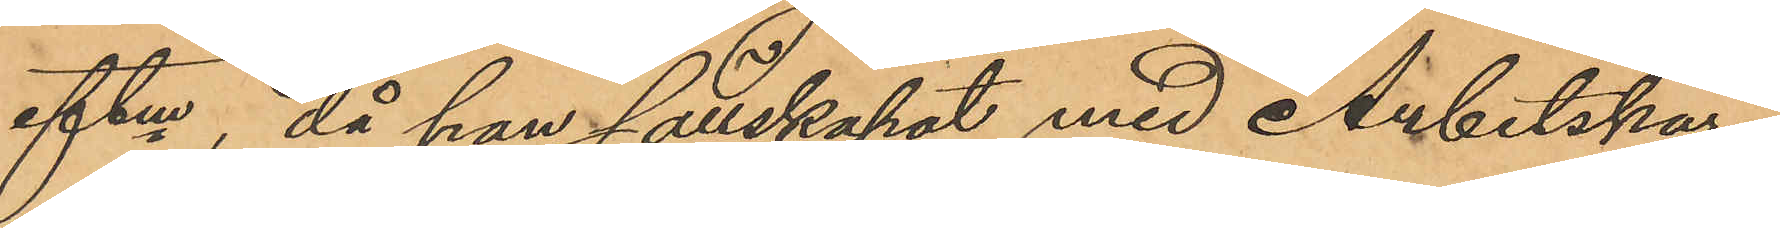eftm, då han sällskapat med Arbetskar¬
